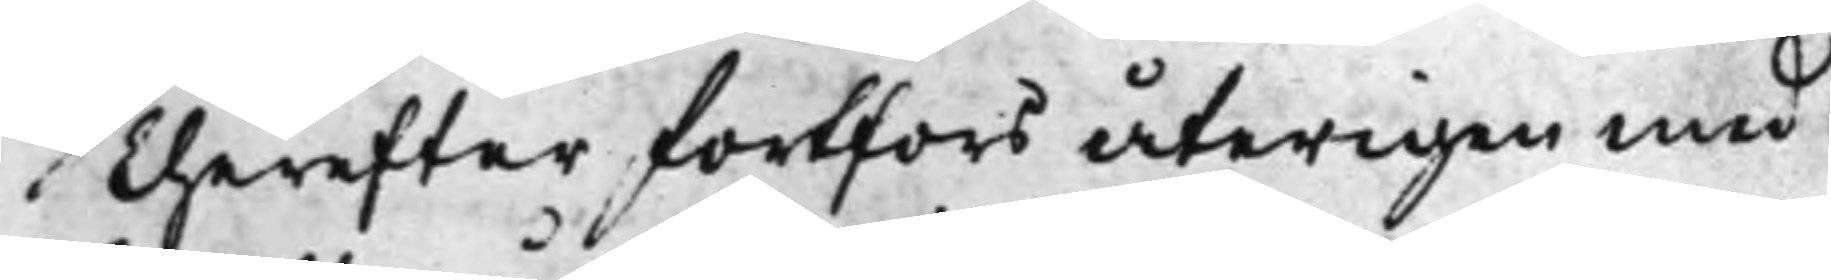Therefter fortfors återigen med
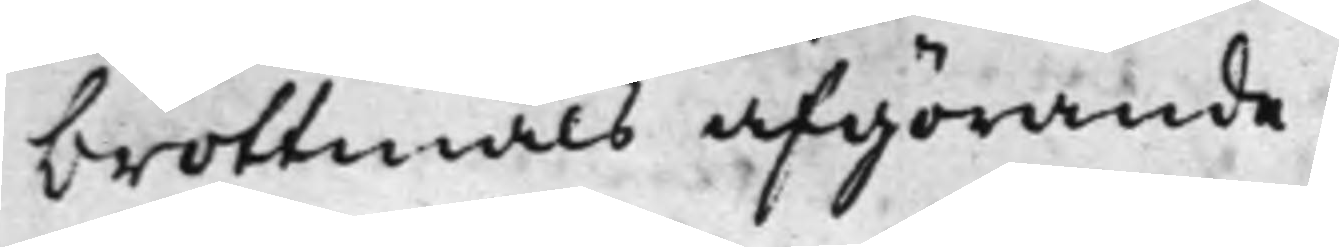brottmåls afgörande,
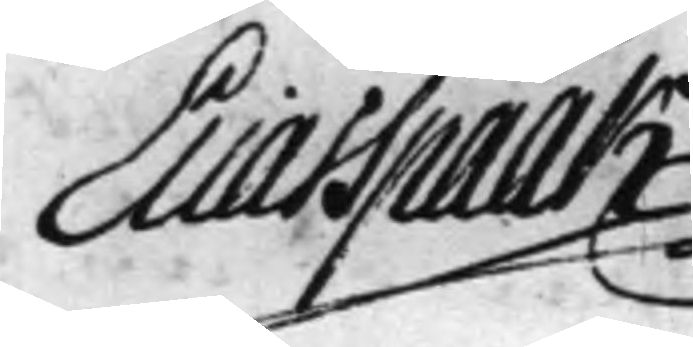Elias Spaak
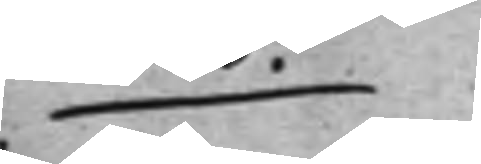P.
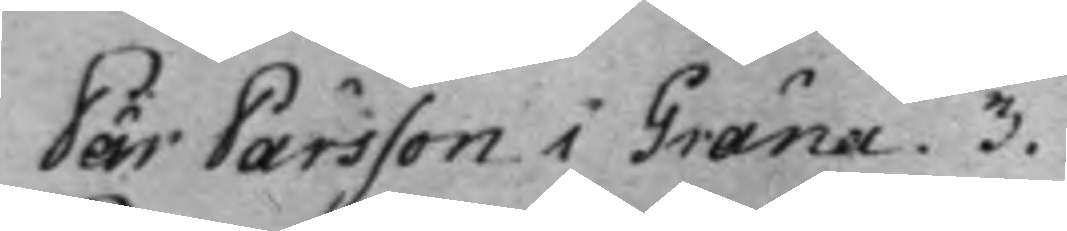Pär Pärsson i Gräna. 3.
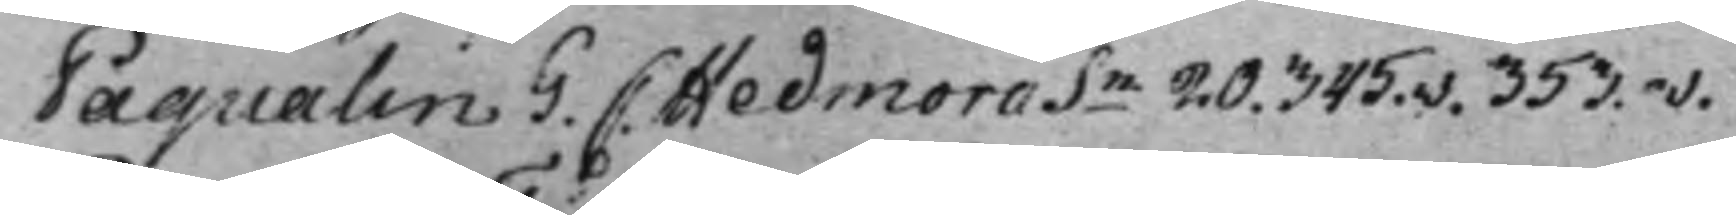Paqualin G. C: Hedmora Sn 20. 345.v. 353.v.
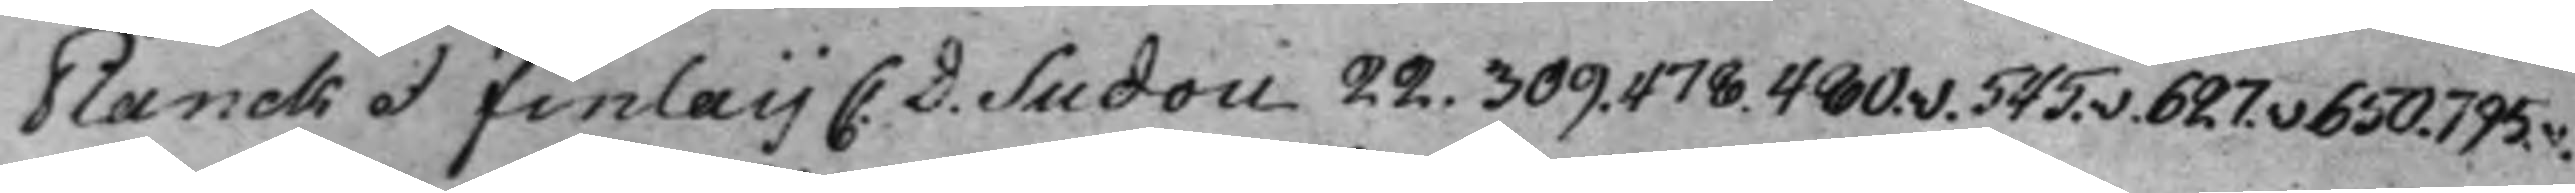Planck et Finlaij C. D. Sudou 22. 309. 478. 480.v. 545.v. 627.v 650. 795.v.
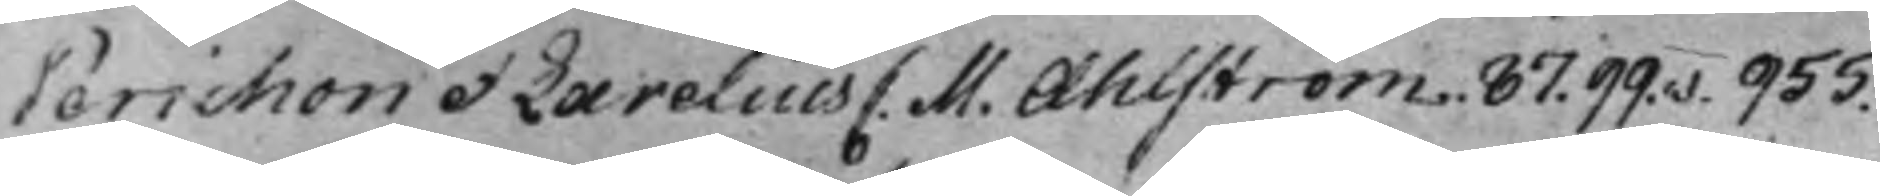Perichon et Larelius C. M. Ahlström. 87. 99.v. 955.
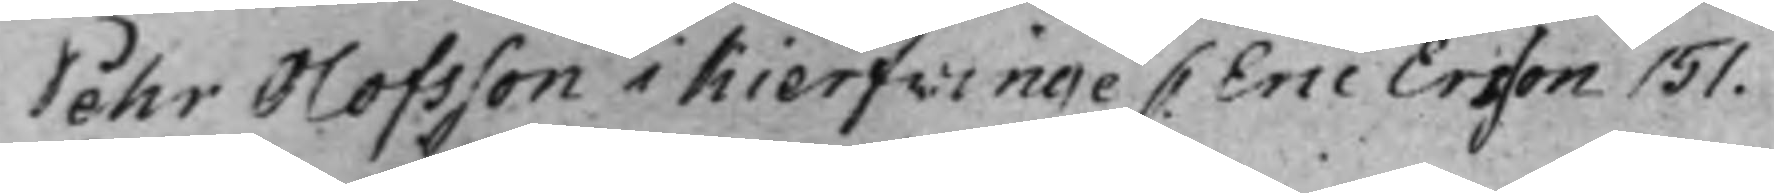Pehr Olofsson i Kierfvinge C. Eric Ersson 151.
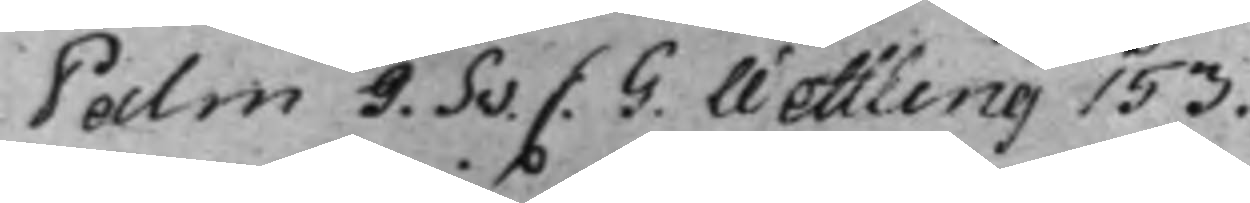Palm J. Sv. C. G. Wettling 153.
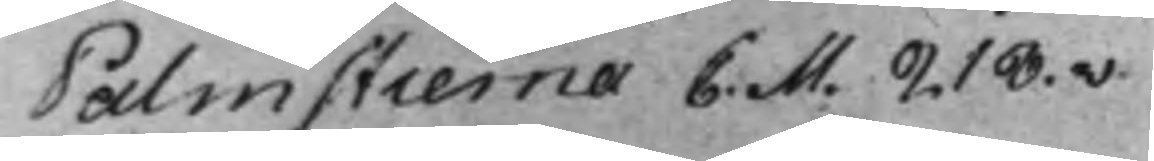Palmstierna C. M. 218.v
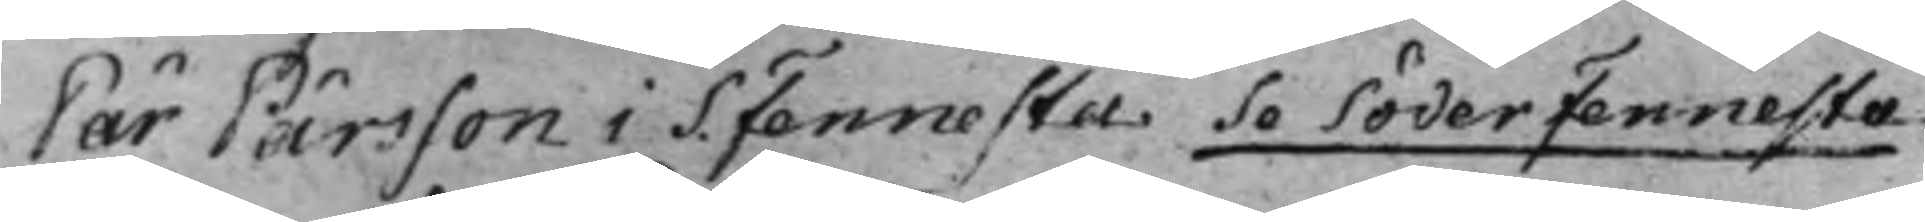Pär Pärsson i S. Fennesta Se Söder Fennesta.
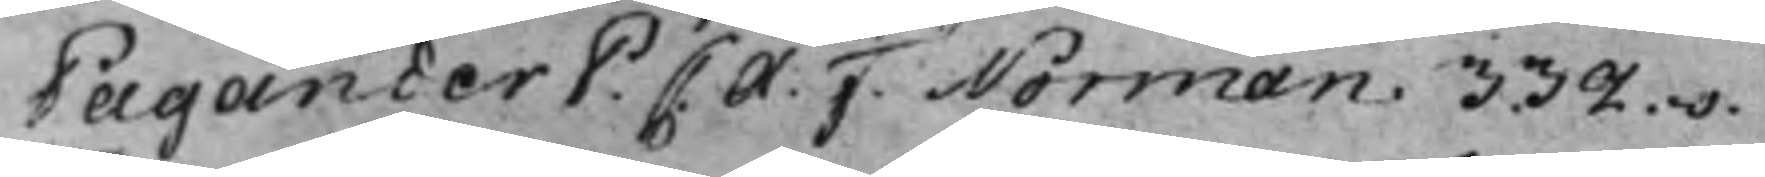Pagander P. C. A. F. Norman. 332.v.
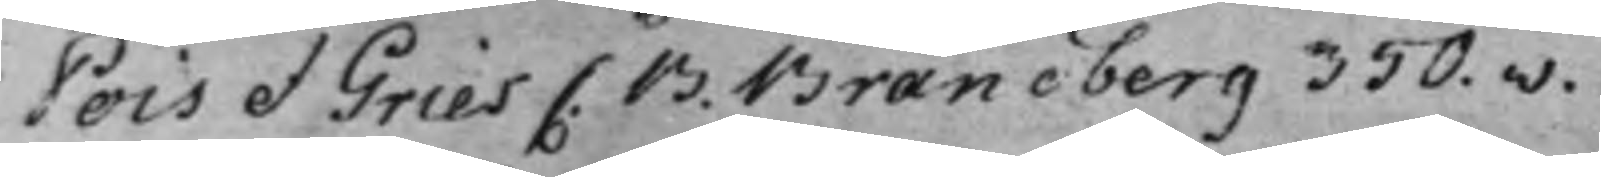Pois et Gries C. B. Brandberg 350.v.
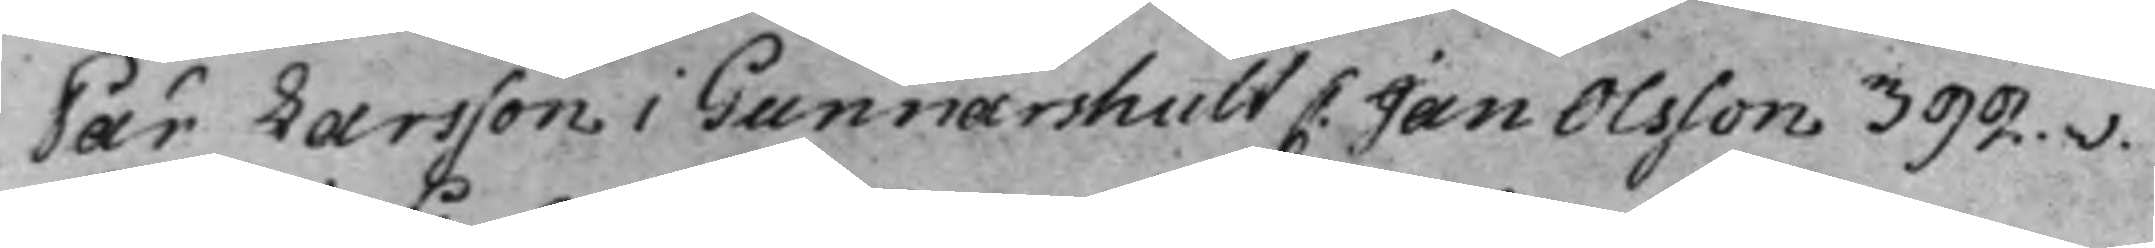Pär Larsson i Gunnarshult C. Jan Olsson 392.v.
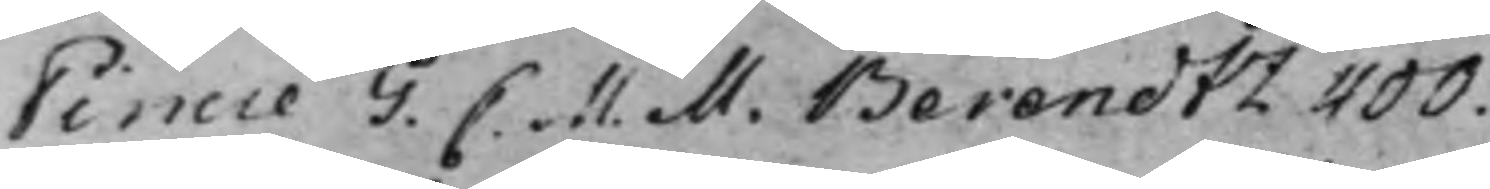Pincie G. C. M. M. Berendtz 400.
